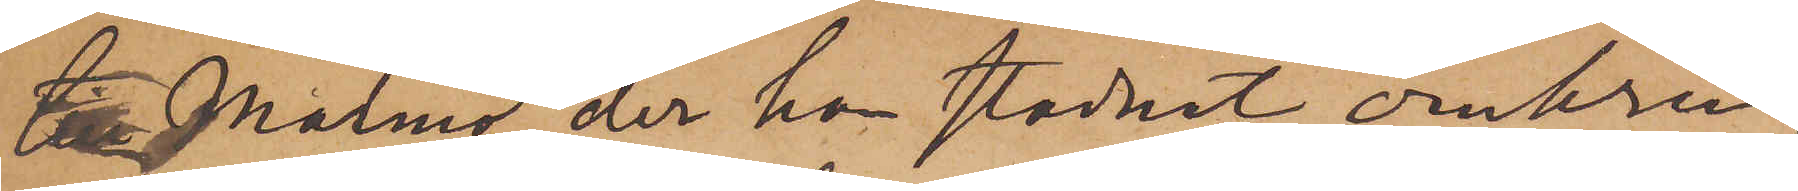till Malmö, der han stadnat omkring
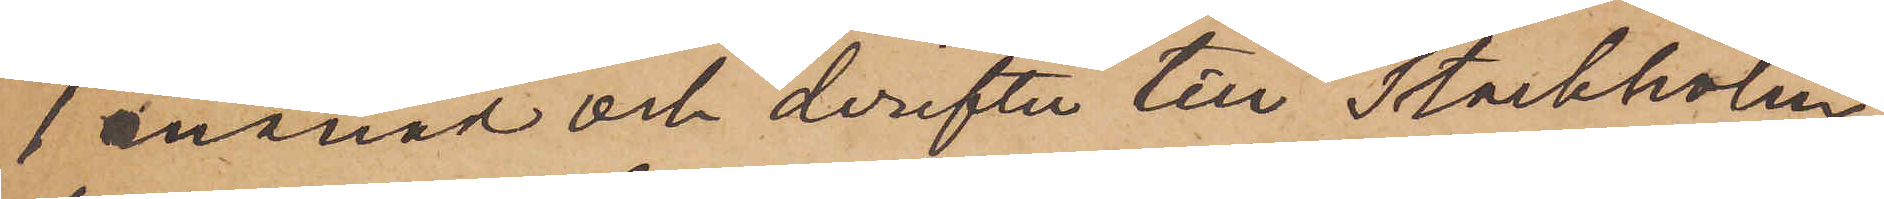1 månad och derefter till Stockholm,
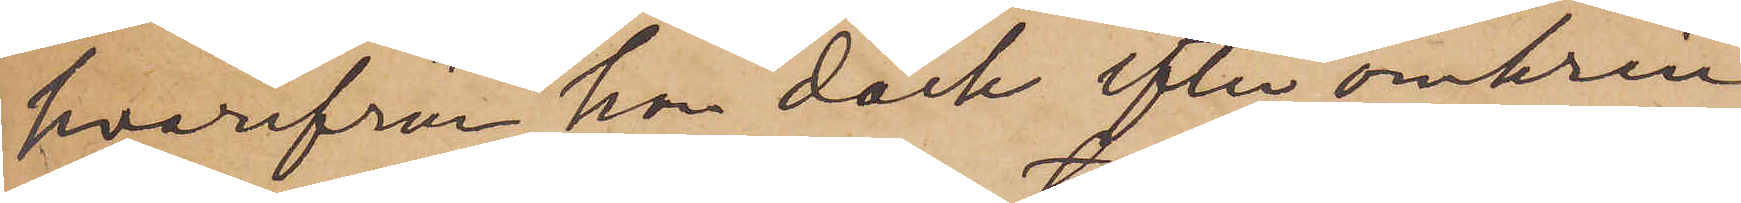hvarifrån han dock efter omkring
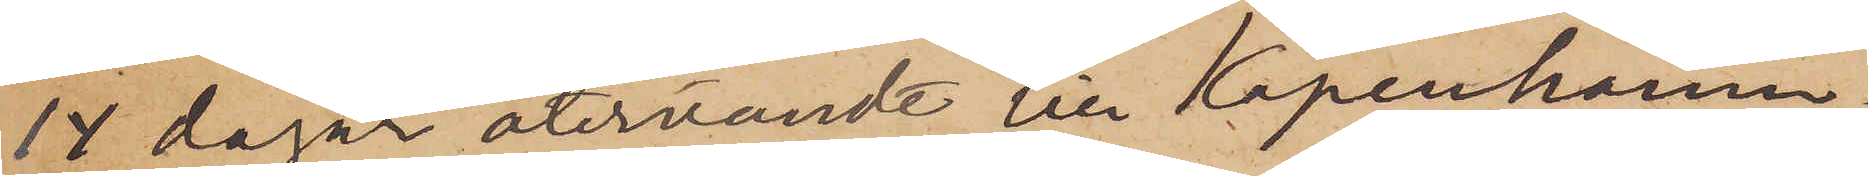14 dagar återvändt till Köpenhamn,
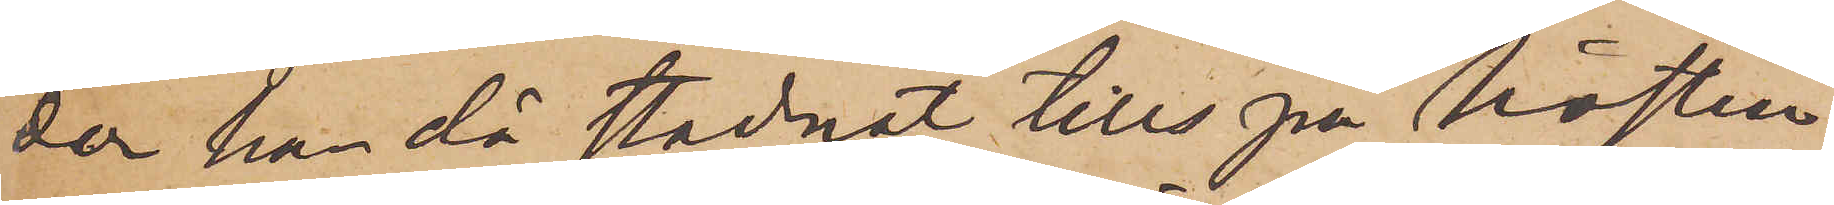der han då stadnat tills på hösten
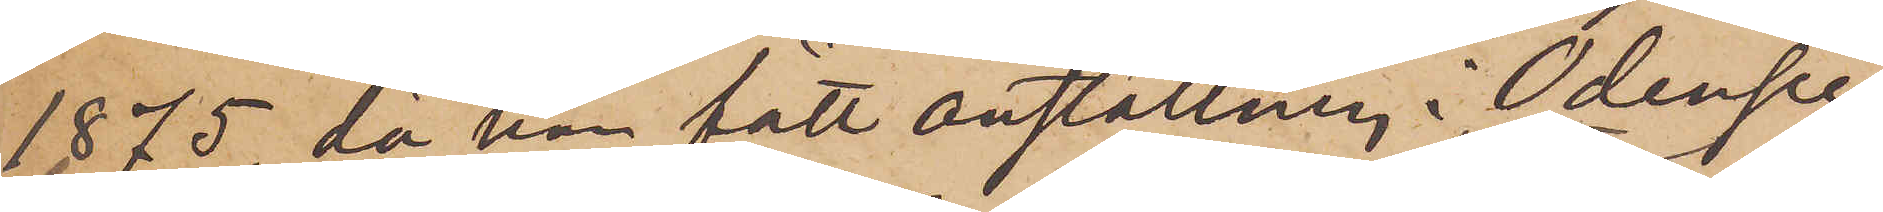1875, då han fått anställning i Odense,
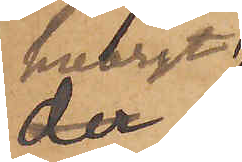hvarest
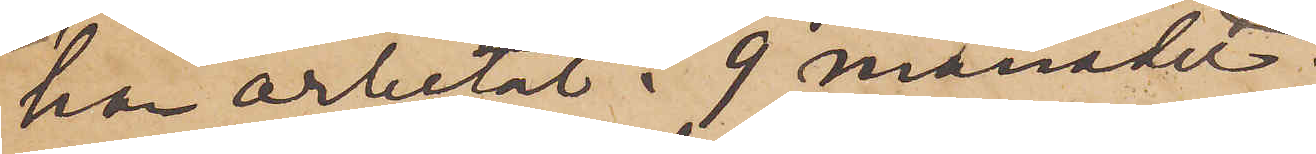han arbetat 9 månader;
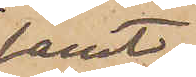samt
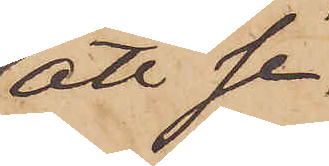att se¬
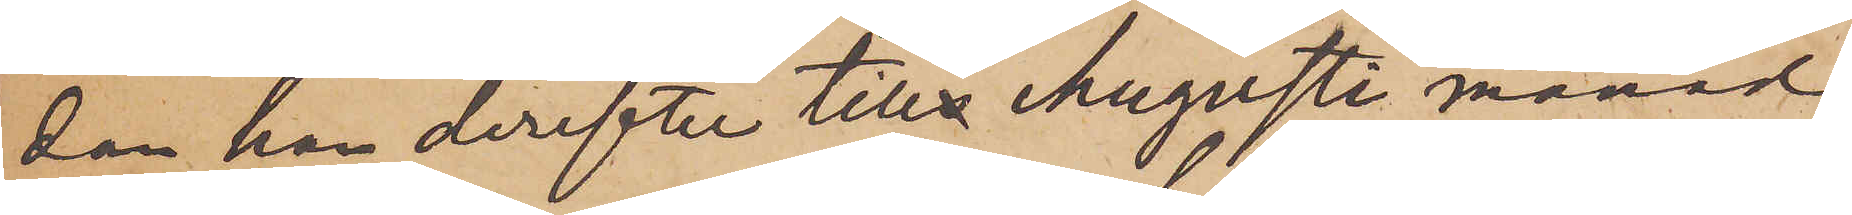dan han derefter tills Augusti månad
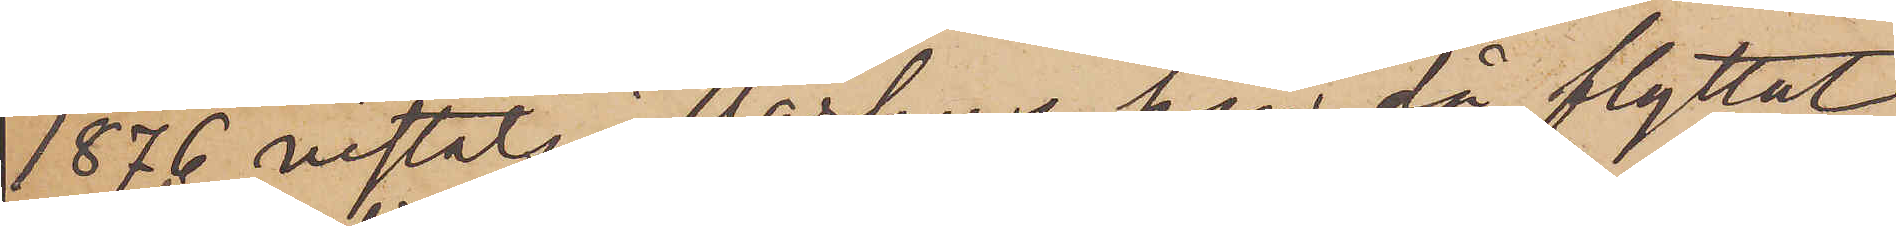1876 vistats i Aarhus, han då flyttat
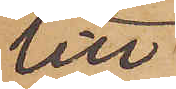till
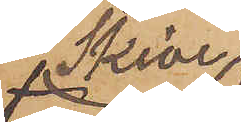i Skive
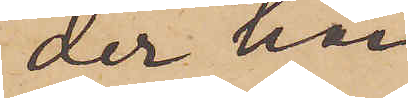der han
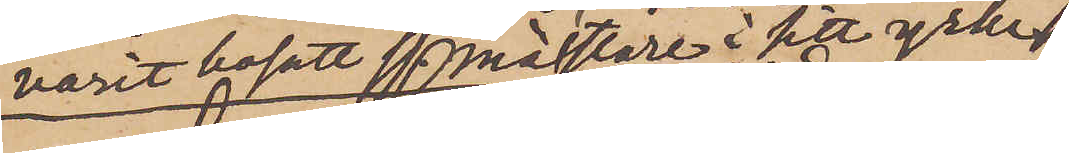varit bosatt ss. mästare i sitt yrke
